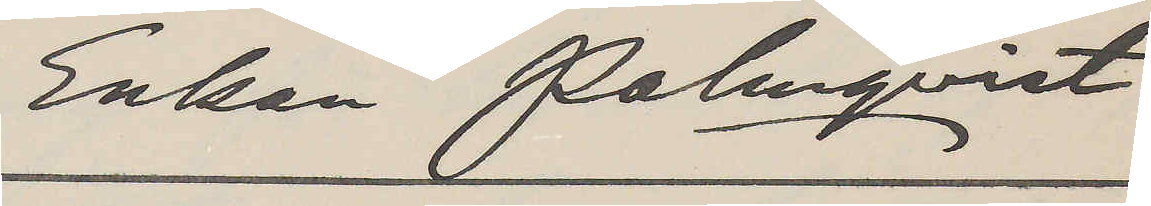Enkan Palnqvist
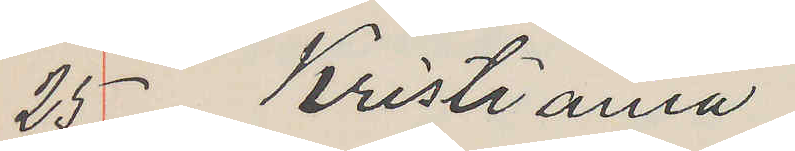25 Kristiania
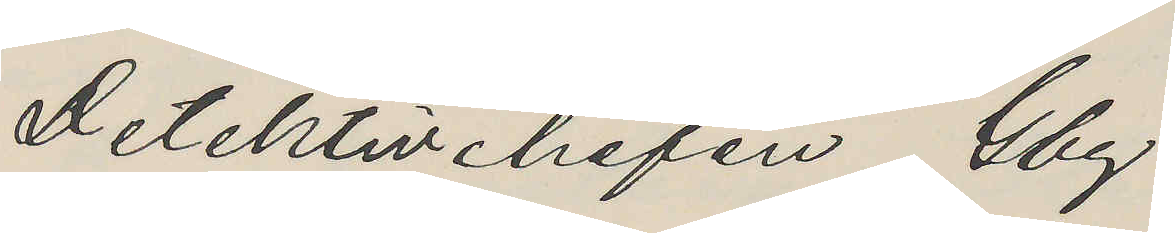Detektivchefen Gbg.
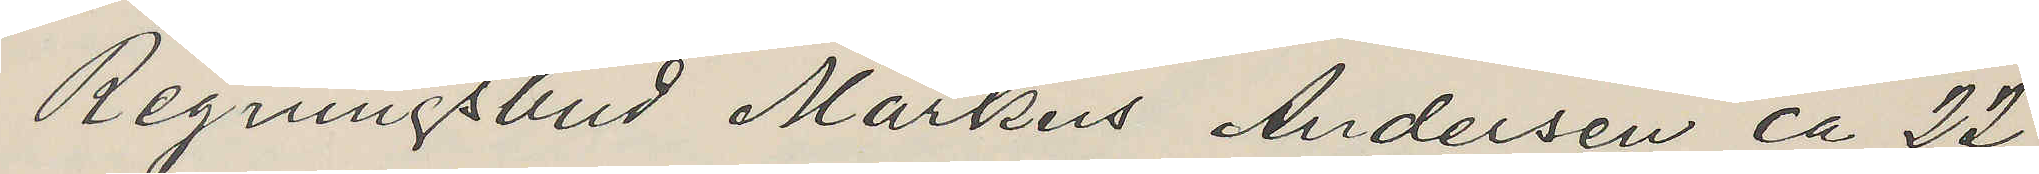Regningsbud Markus Andersen ca 22
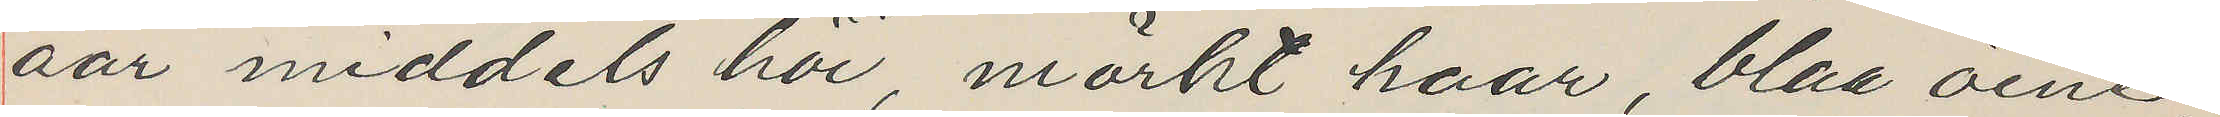aar middels höi, mörkt haar, blaa öine,
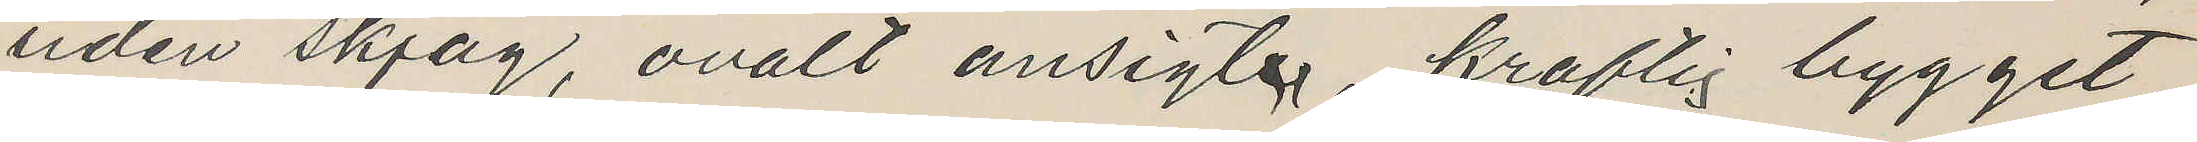uden skjäg, ovalt ansigte, kraftig bygget,
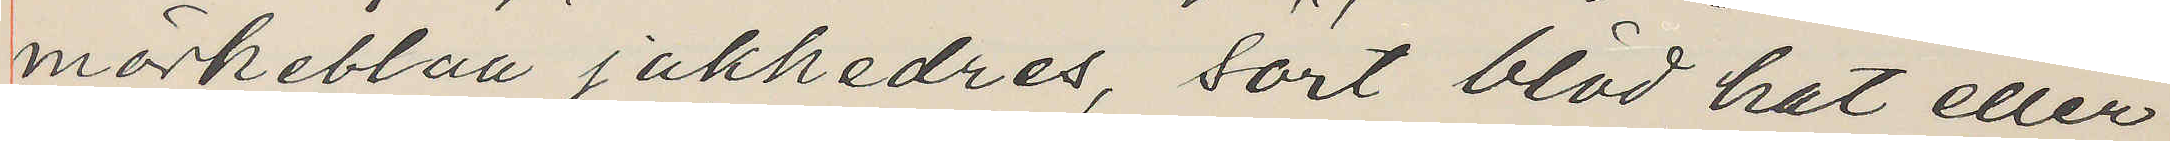mörkeblaa jakkedres, sort blöd hat eller
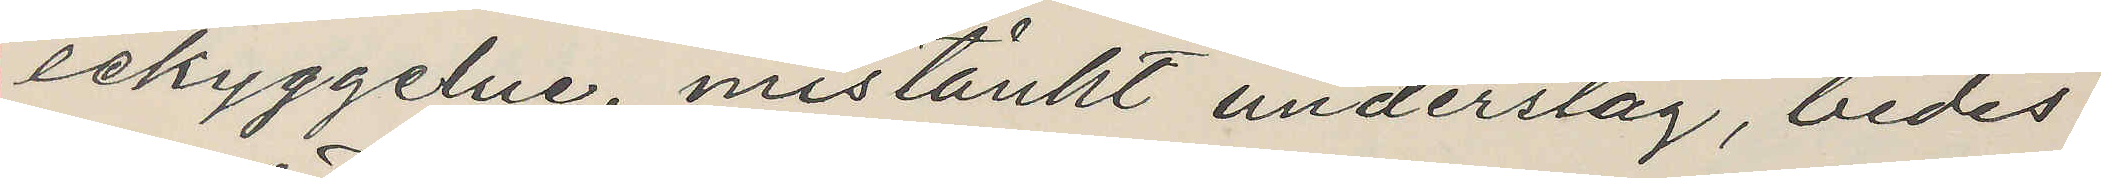lekyggelue, mistänkt underslag, bedes
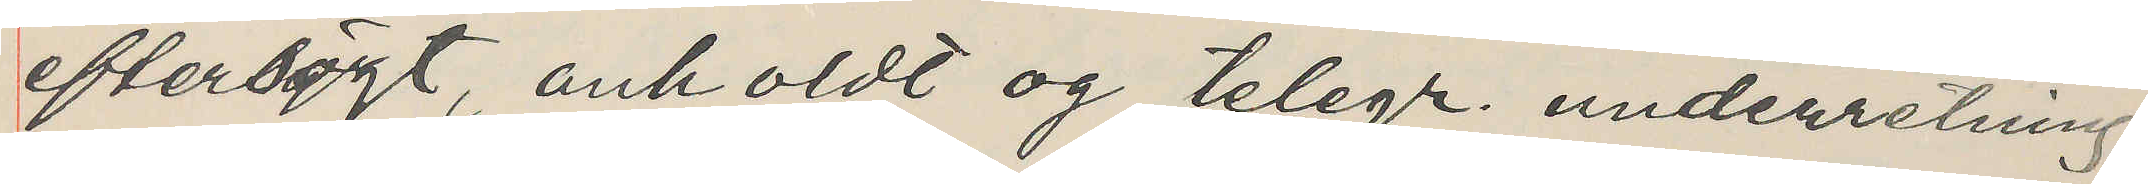eftersögt, anholdt og telegr. underretning
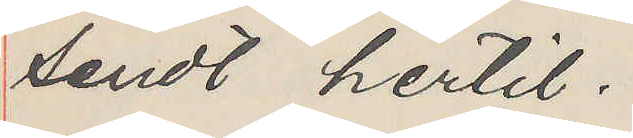sendt hertil.
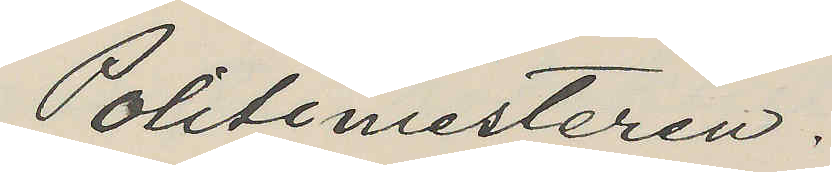Politimesteren.
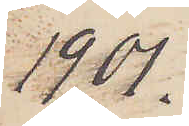1901.
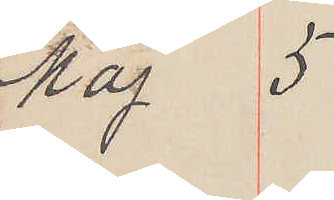Maj 5
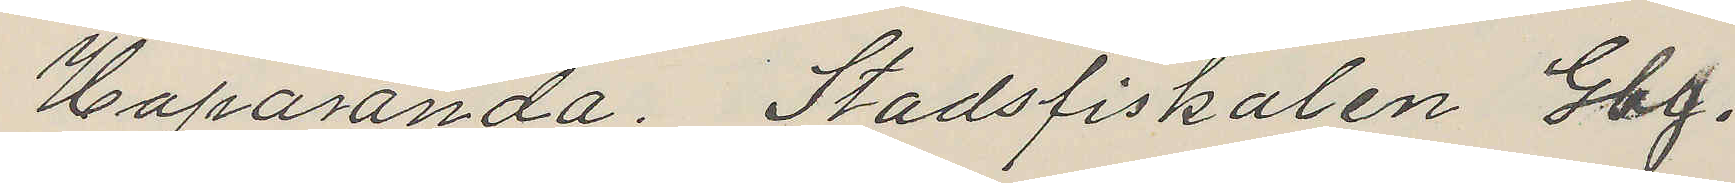Haparanda. Stadsfiskalen Gbg.
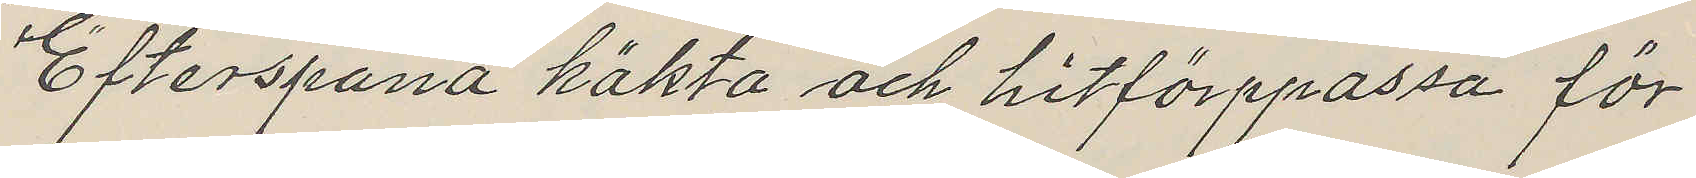Efterspana häkta och hitförppassa för
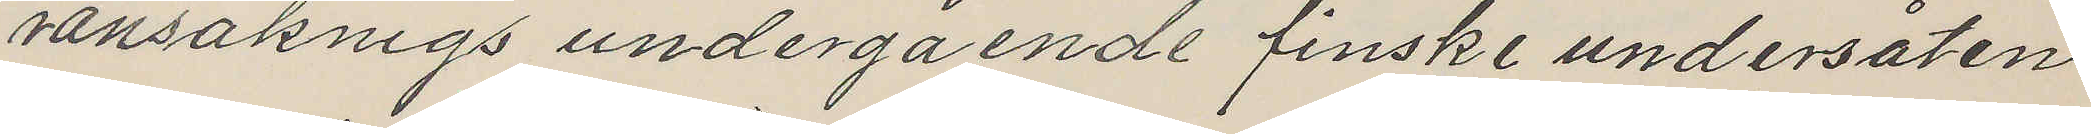ransaknigs undergående finske undersåten
